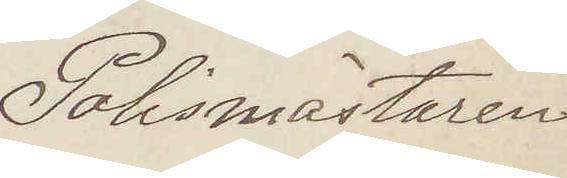Polismästaren.
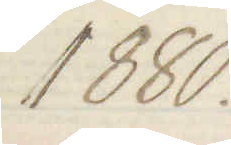1880.
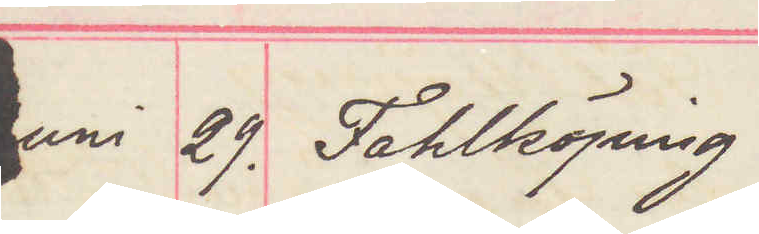Juni 29. Fahlköping
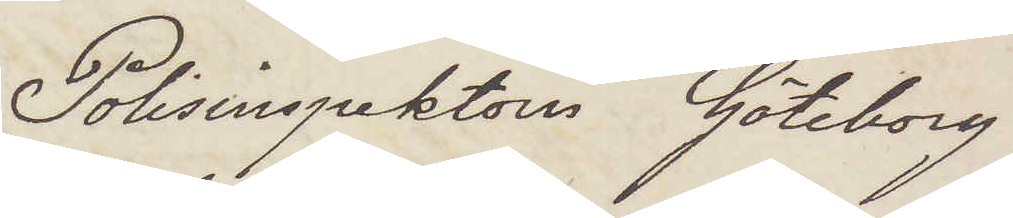Polisinspektorn Göteborg
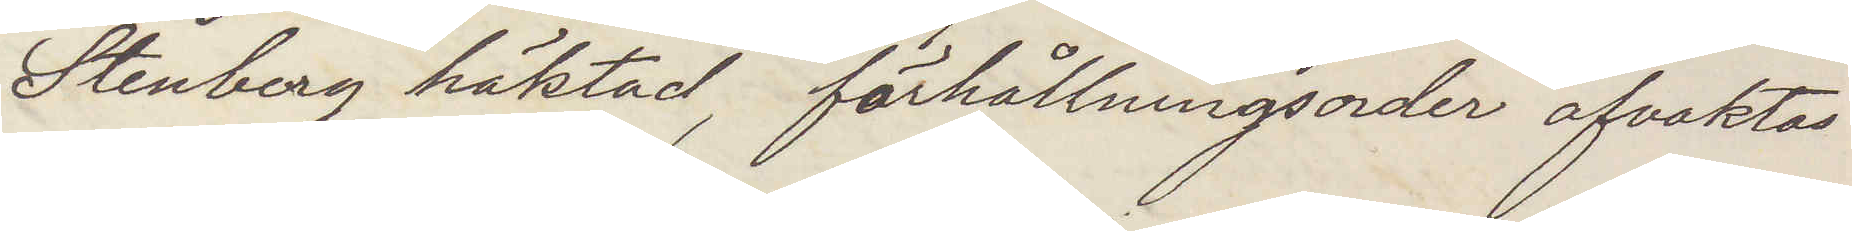Stenberg häktad förhållningsorder afvaktas
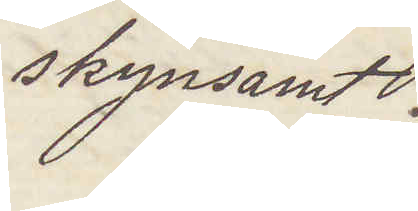skyndsamt.
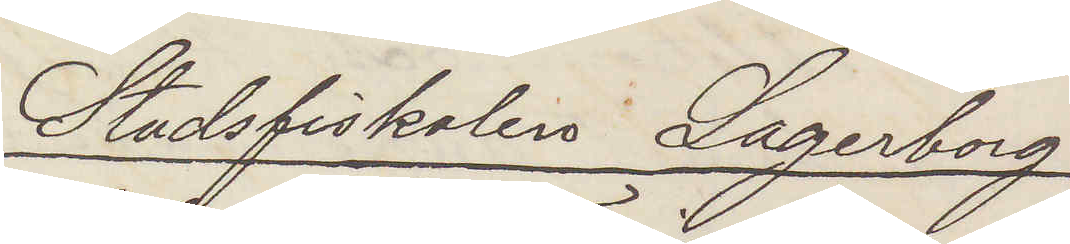Stadsfiskalen Lagerberg
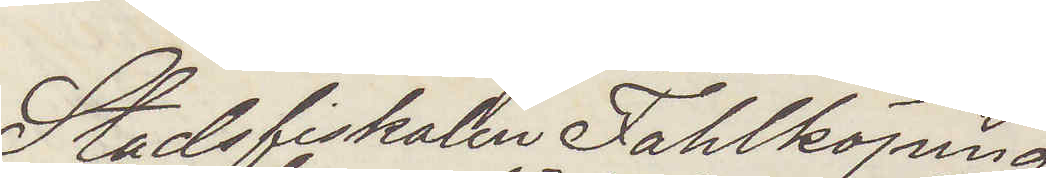Stadsfiskalen Fahlköping
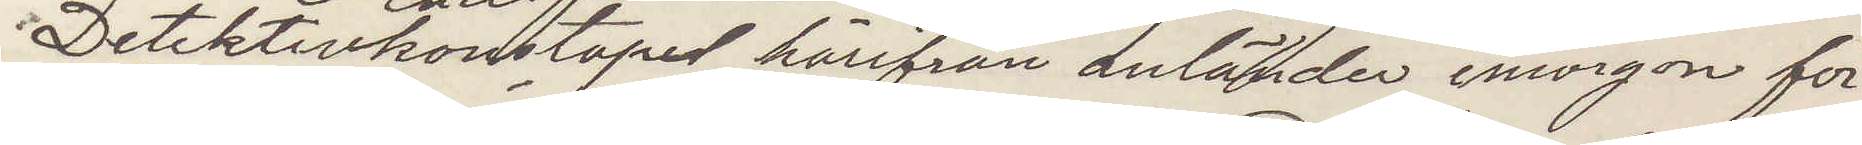Detektivkonstapel härifrån anländer imorgon för
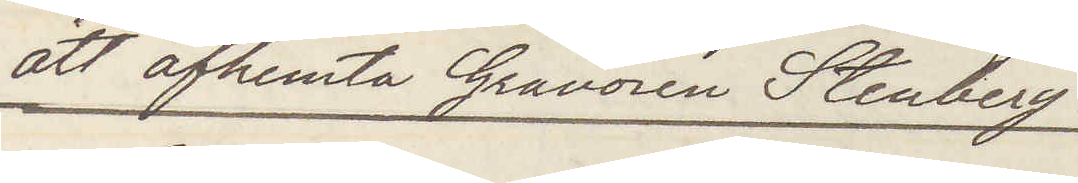att afhemta Gravören Stenberg.
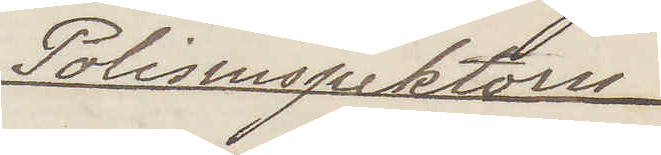Polisinspektorn
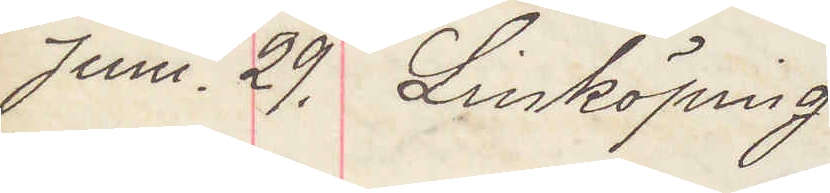Juni 29. Linköping
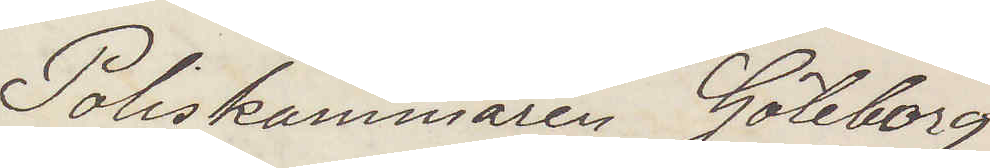Poliskammaren Göteborg.
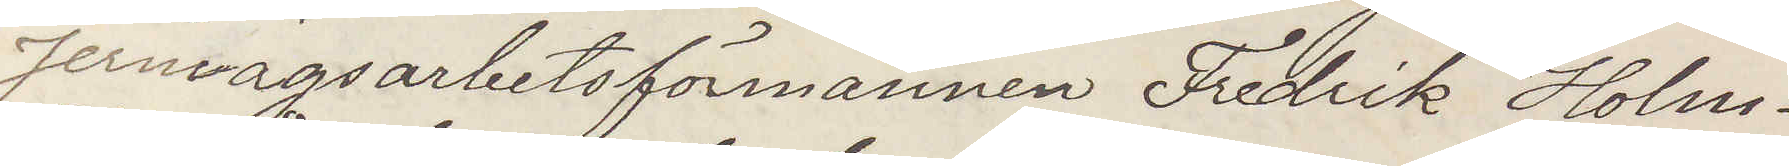Jernvägsarbetsförmannen Fredrik Holm¬
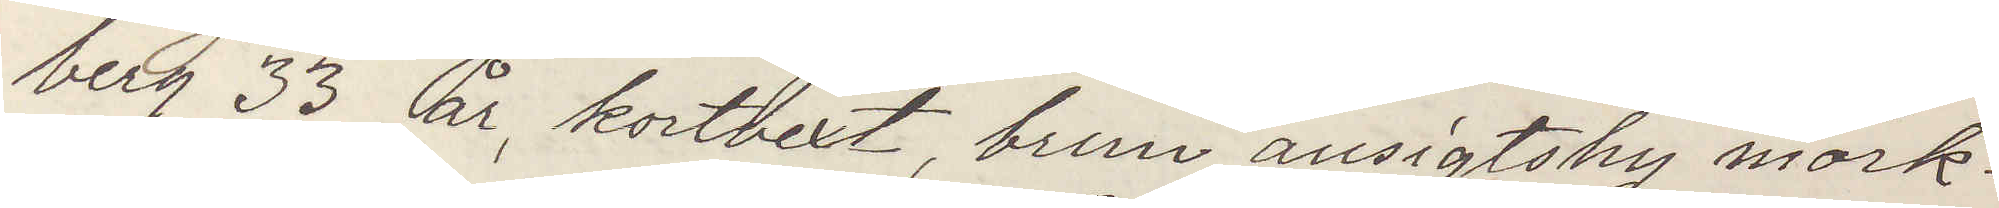berg 33 år, kortvext, brun ansigtshy mörk¬
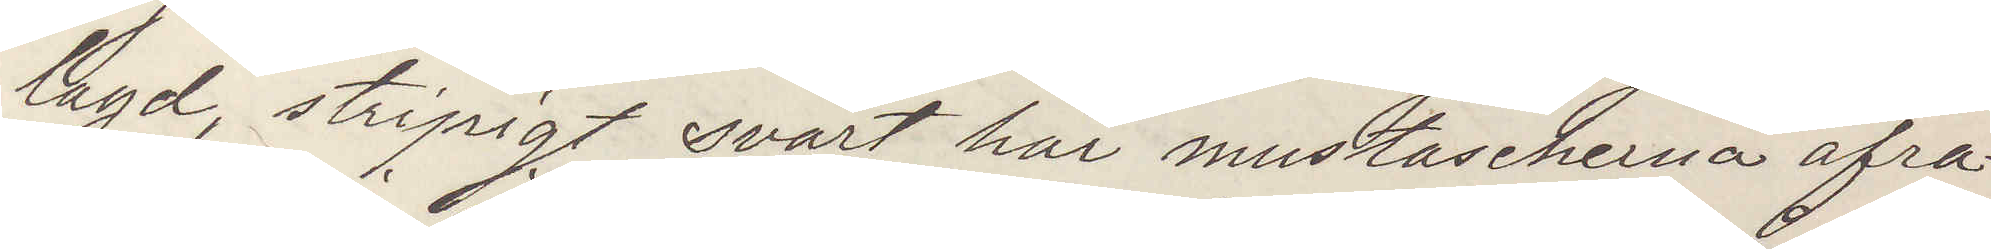lagd, stripigt svart hår mustascherna afra¬
